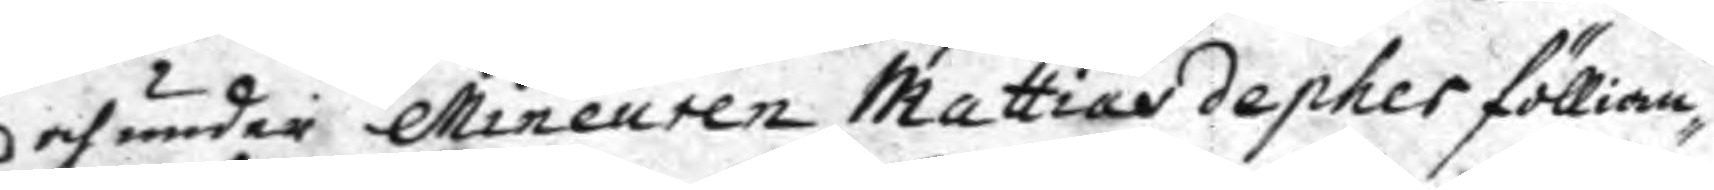och under Mineuren Mayyias depher föllian¬
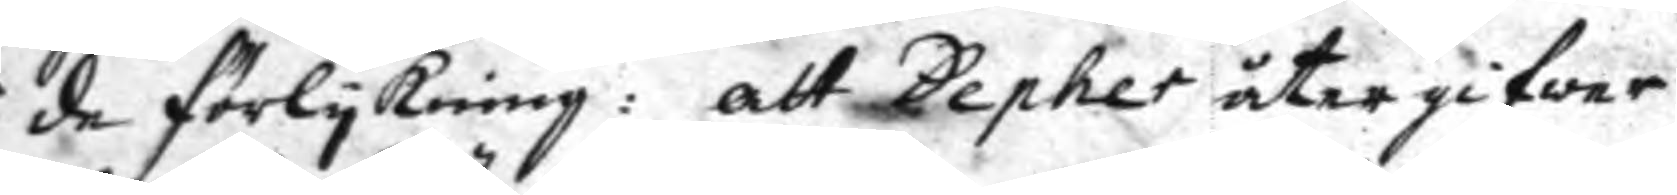de förlykning: att Depher åter gifwer
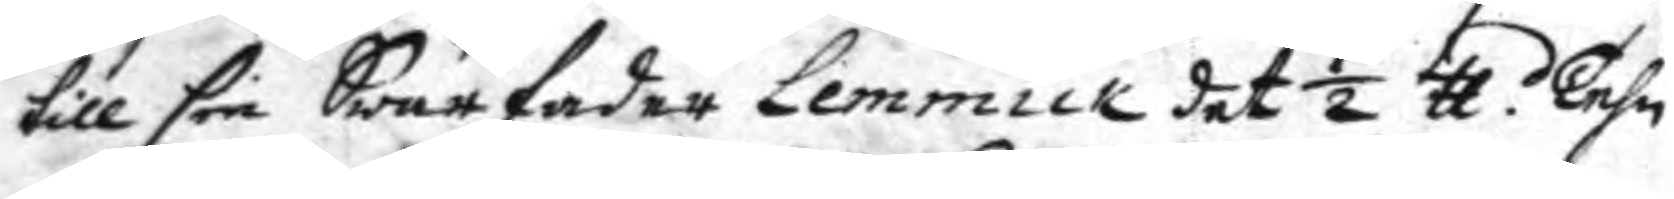till sin Swärfader Lemmick det ½ tt Tehn
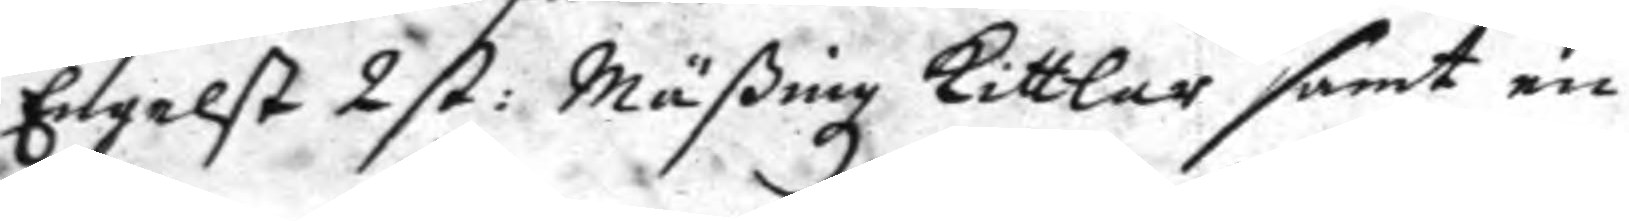Engelst 2 st: Mäßingzkittlar samt en
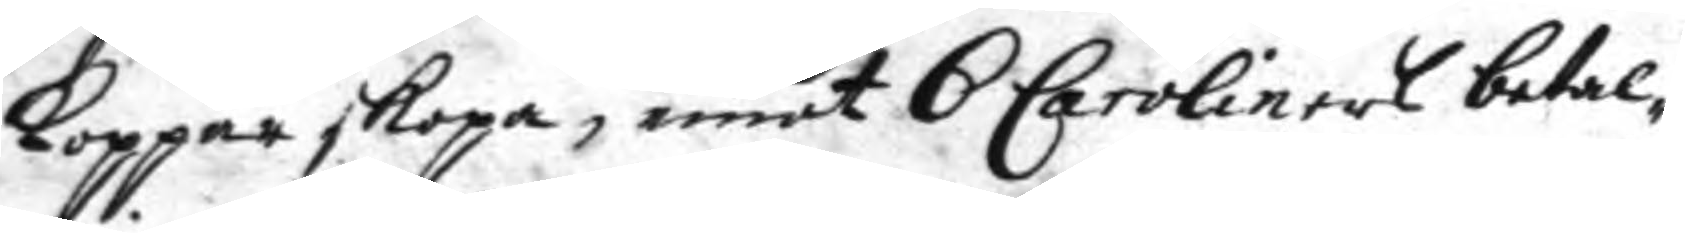koppar skopa, emot 6 Caroliners betal¬
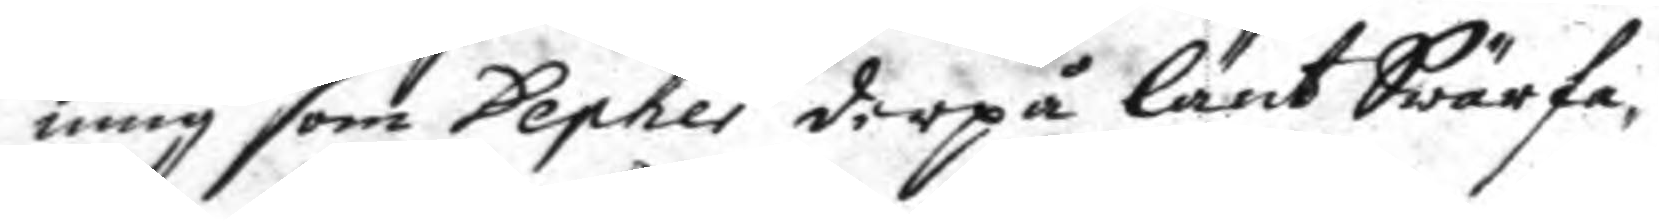ningsom Depher derpå länt Swärfa¬
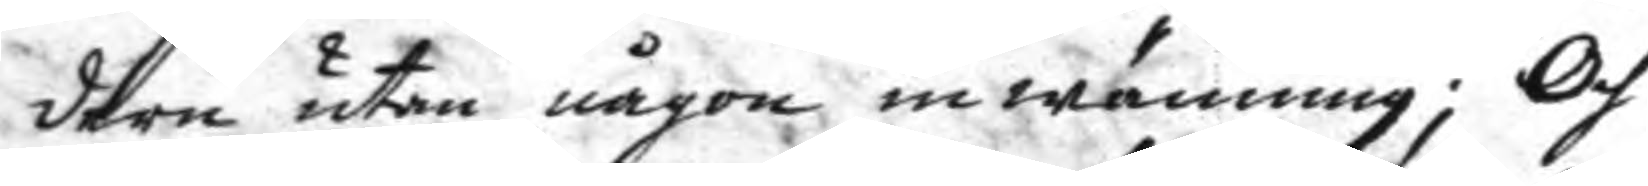dern utan någon inwänning; Och
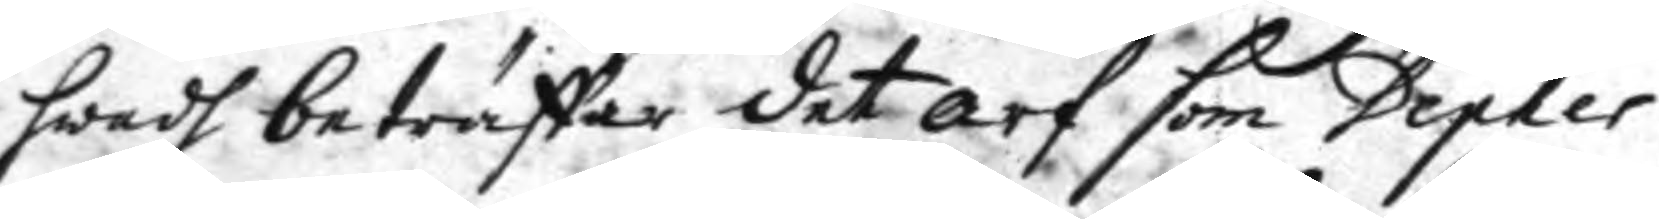hwad beträffar det arf som Depher
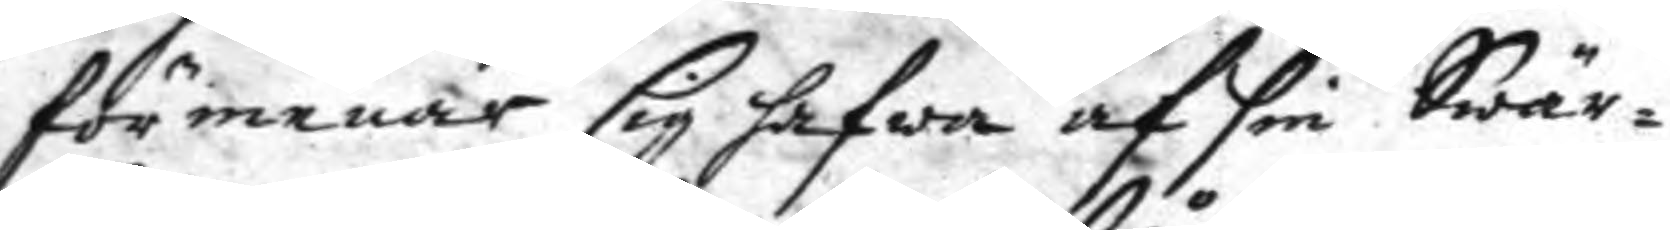förmenar sig hafwa af sin Swär¬
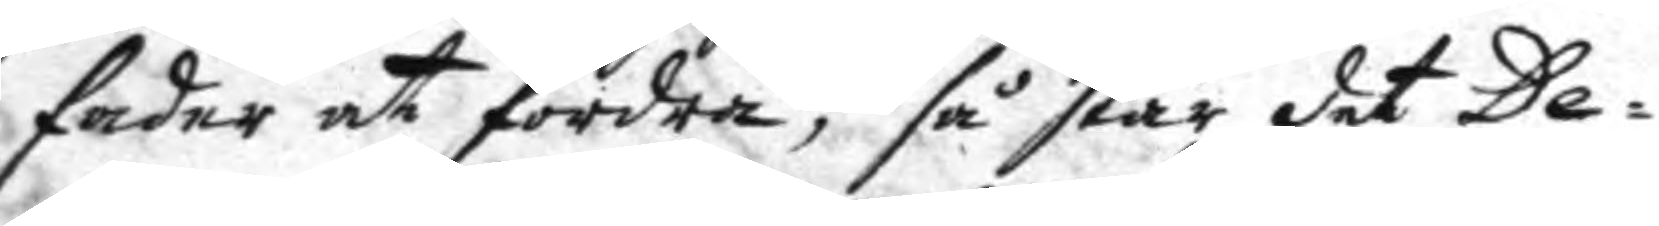fader at fordra, så står det De¬
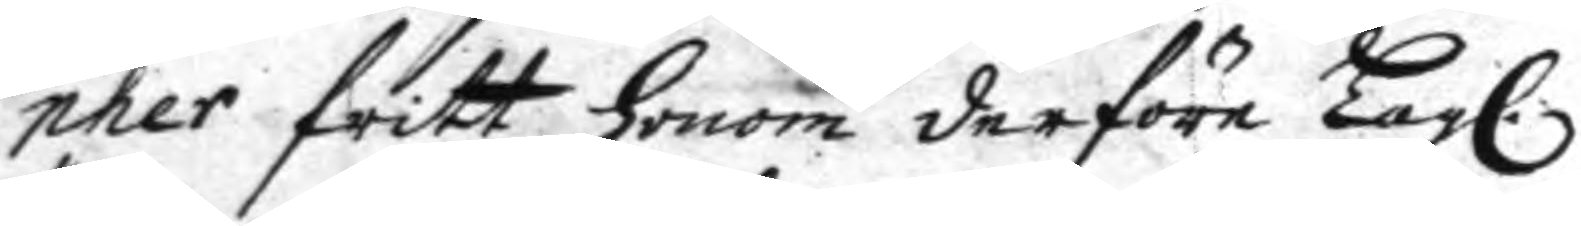pher fritt honom derföre Lagl.
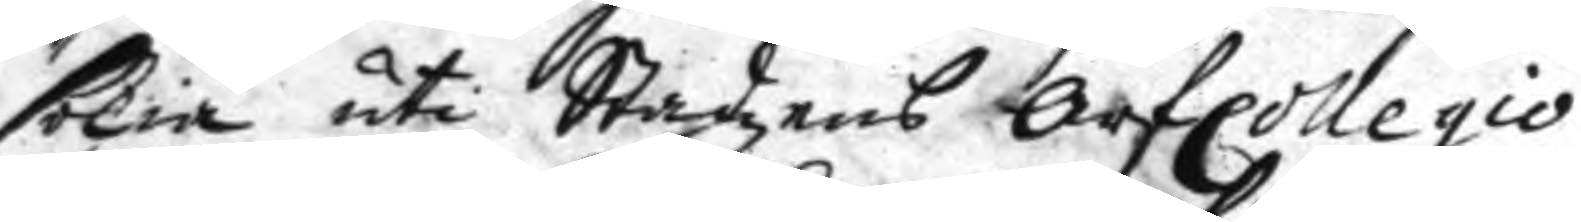sökia uti Stadzens ArfCollegio
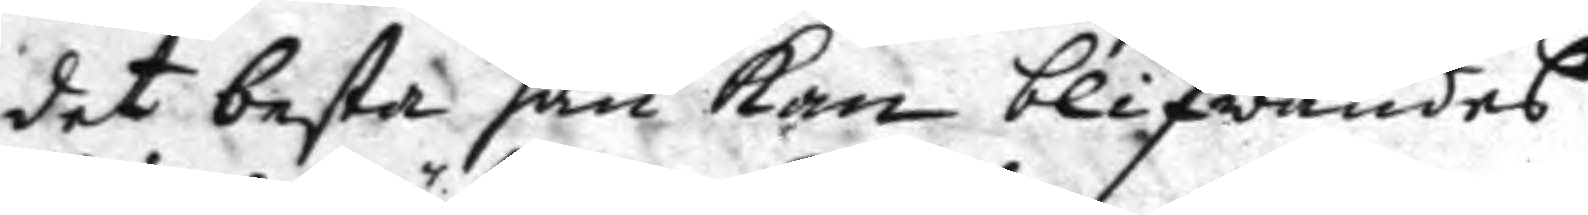det besta han kan blifwandes
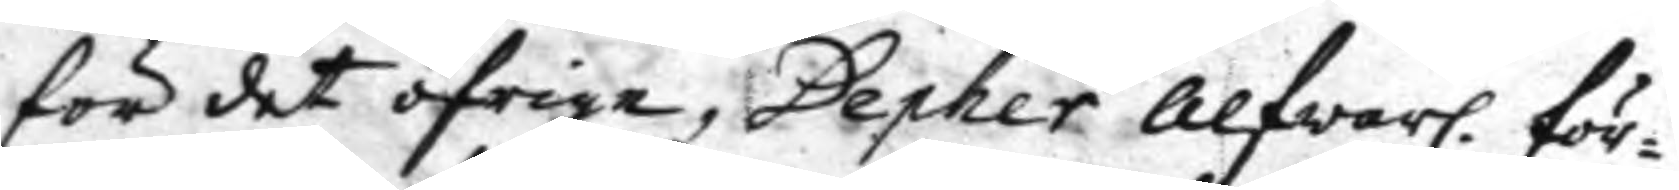för det öfrige, Depher alfwarl: för¬
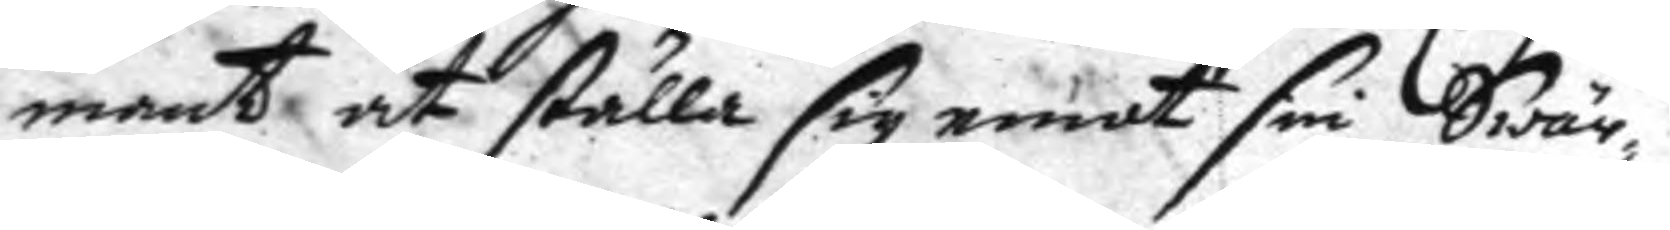mant at ställa sig emot sin Swär¬
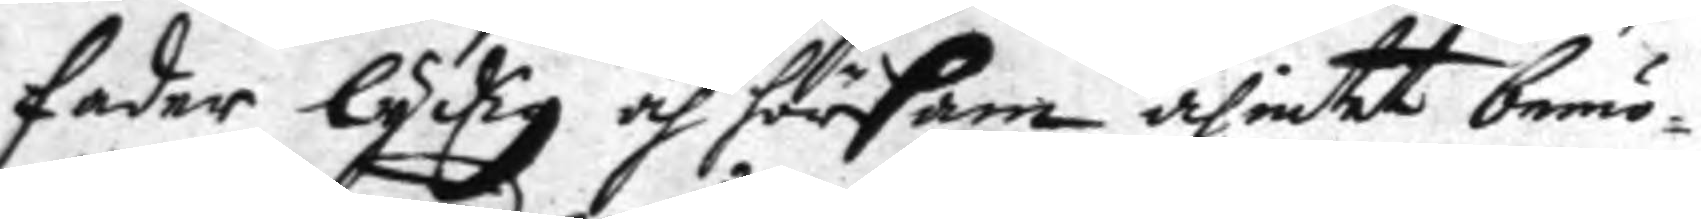fader lydig och hörsam och intet bemö¬
